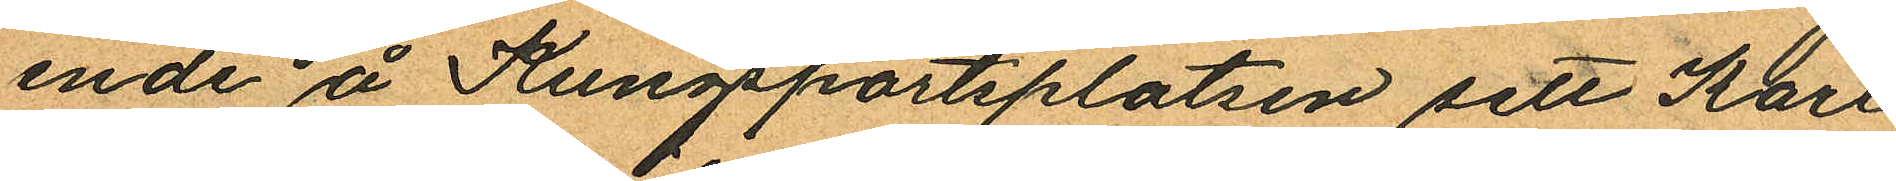ende å Kungsportsplatsen sett Karl
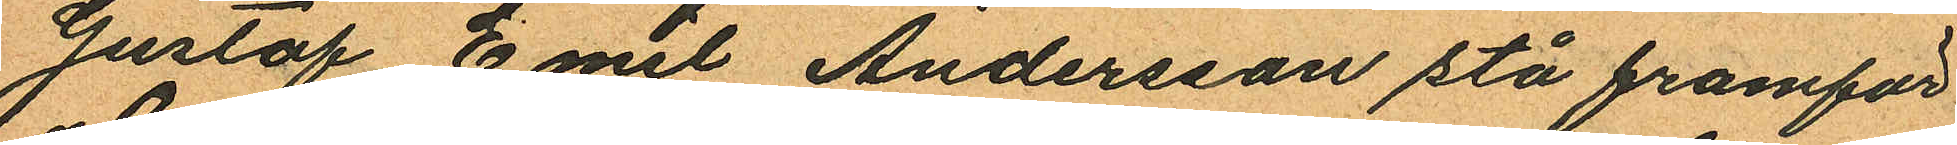Gustaf Emil Andersson stå framför
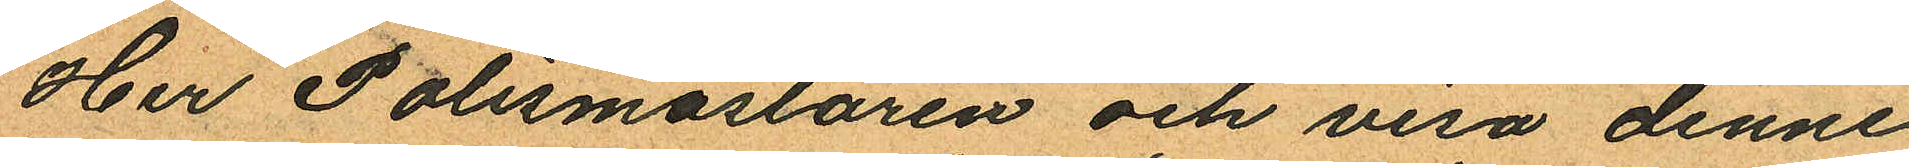Her Polismästaren och visa denne
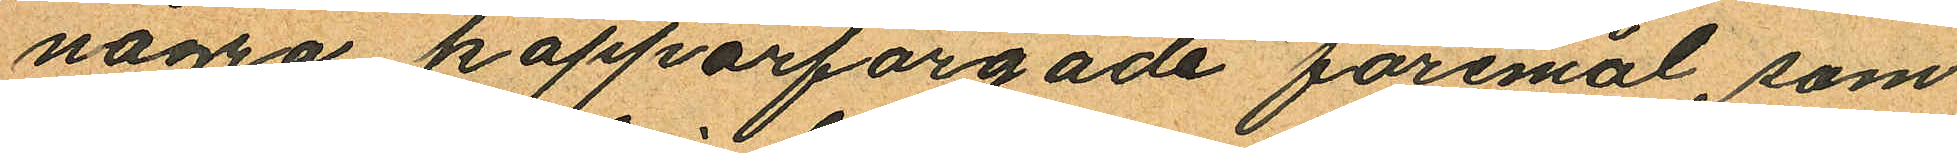några kopparfärgade föremål, som
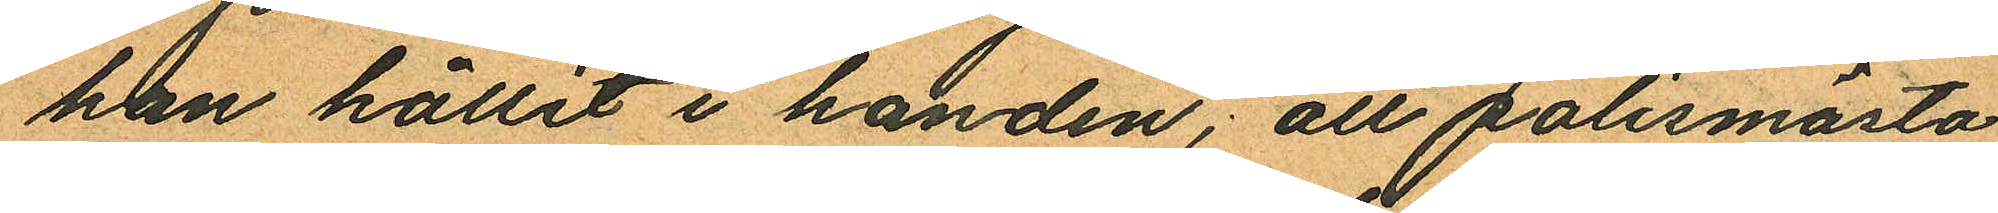han hållit i handen; att polismästa
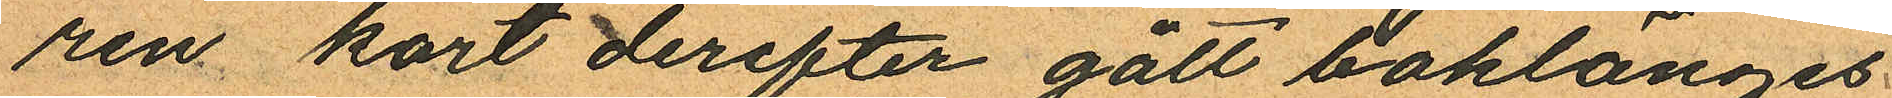ren kort derefter gått baklänges
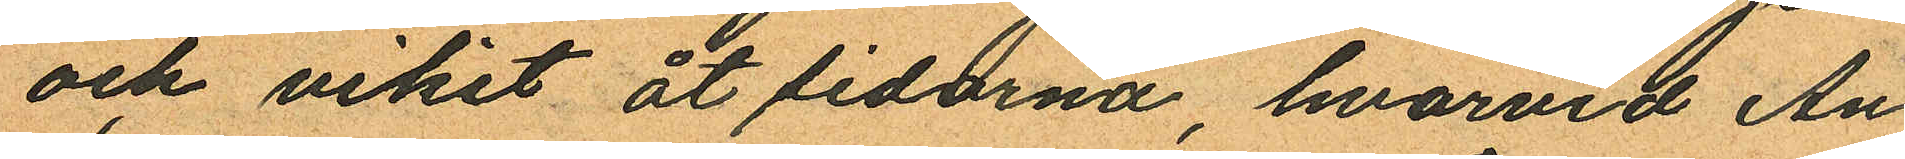och vikit åt sidorna, hvarvid An¬
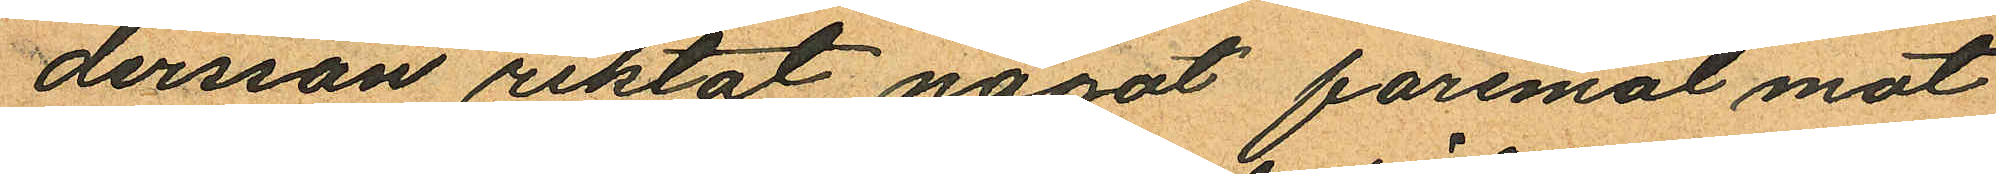dersson riktat något föremål mot
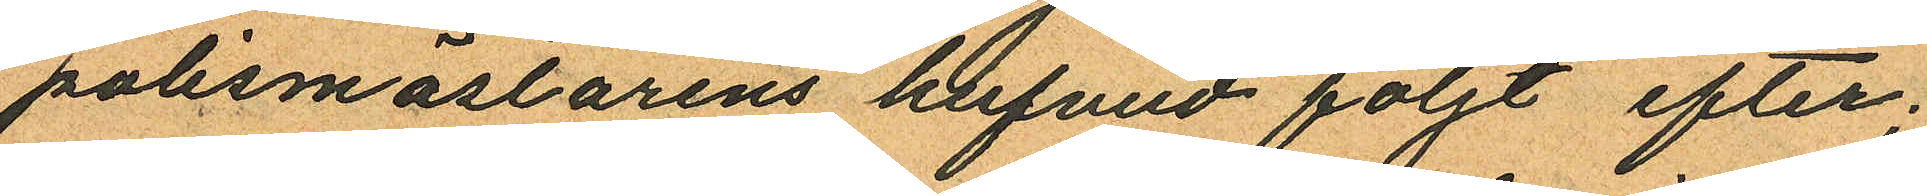polismästarens hufvud följt efter;
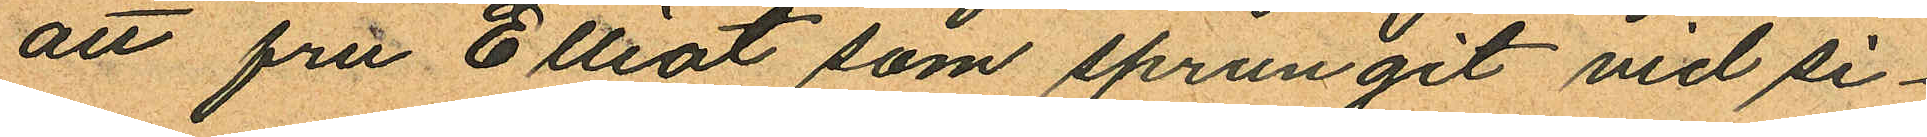att fru Elliot som sprungit vid si¬
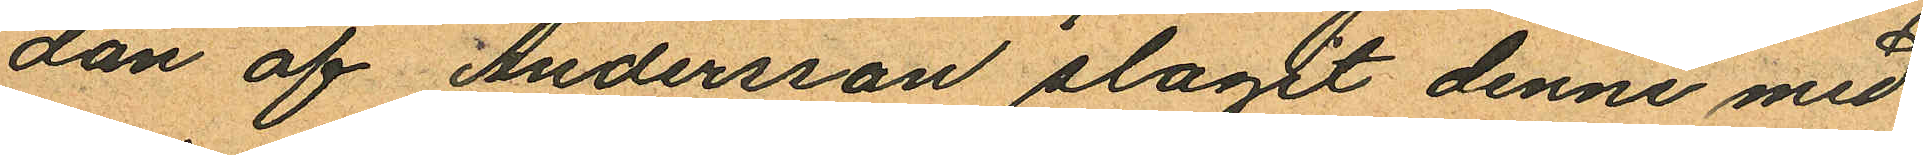dan af Andersson slagit denne med
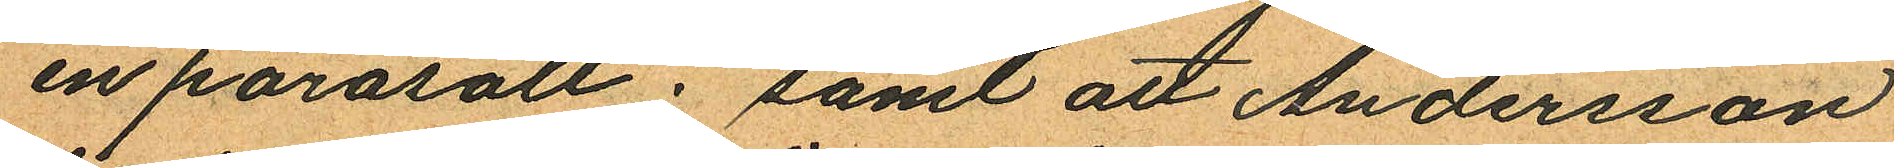en parasoll; samt att Andersson
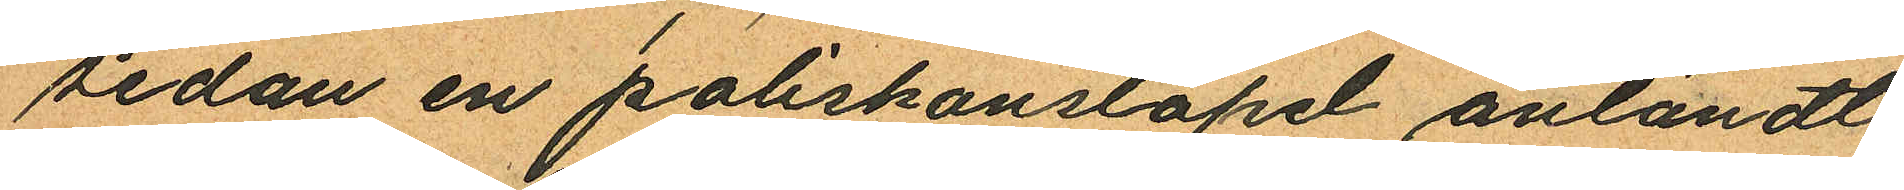sedan en poliskonstapel anländt
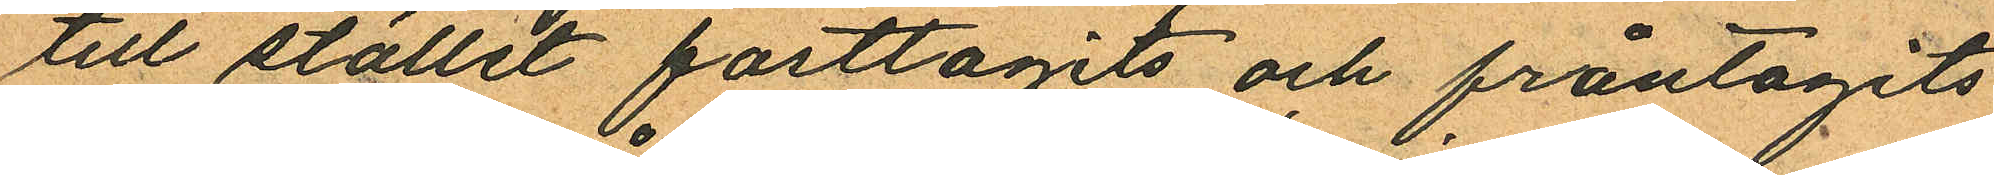till stället fasttagits och fråntagits
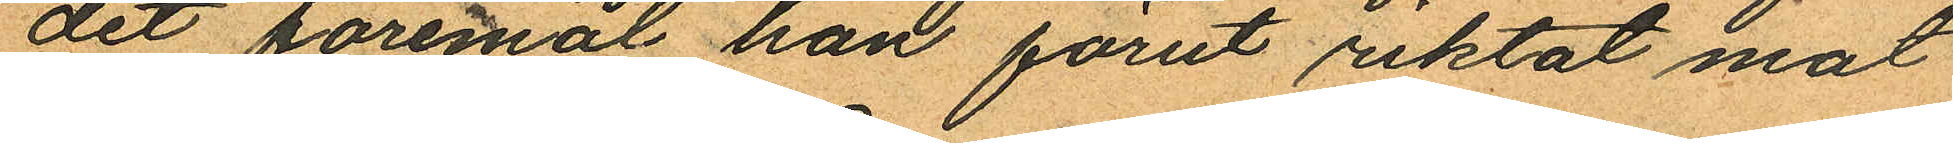det föremål han förut riktat mot
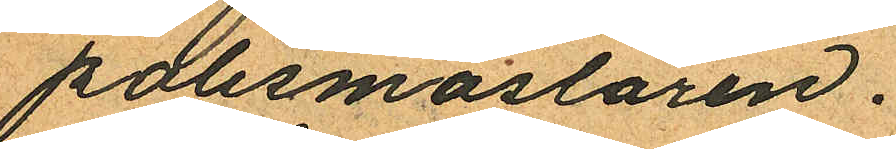polismästaren.
